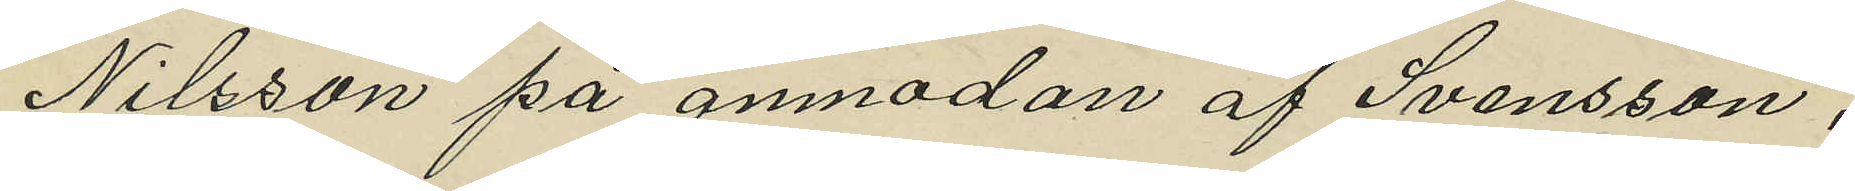Nilsson på anmodan af Svensson,
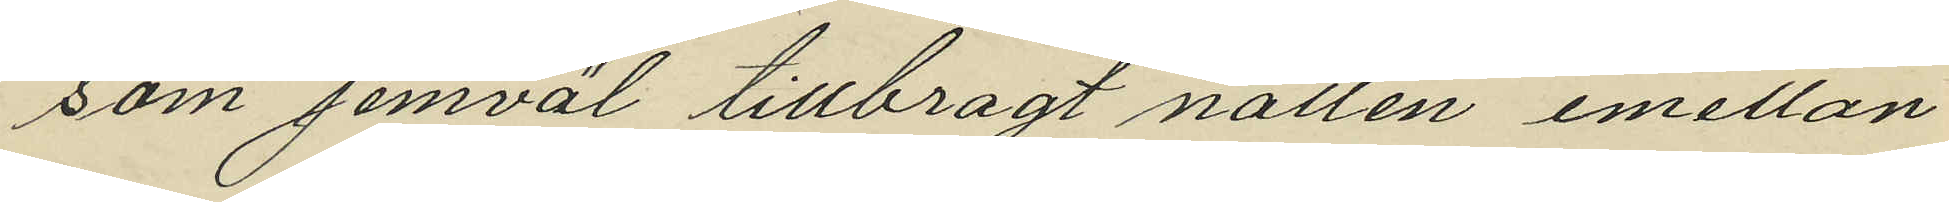som jemväl tillbragt natten emellan
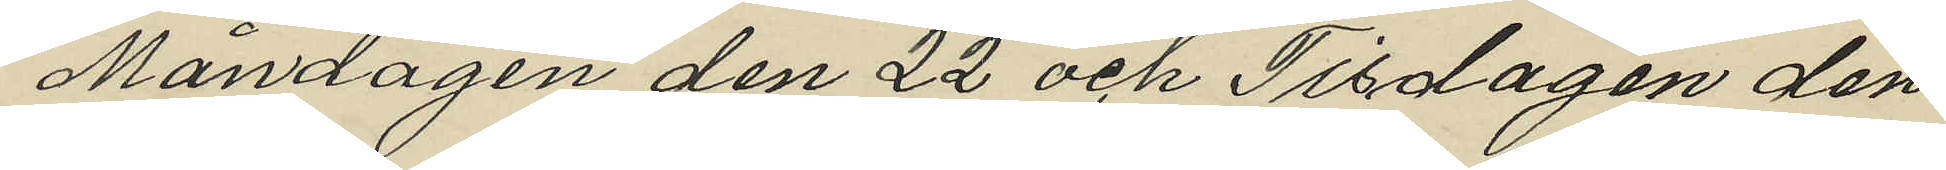Måndagen den 22 och Tisdagen den
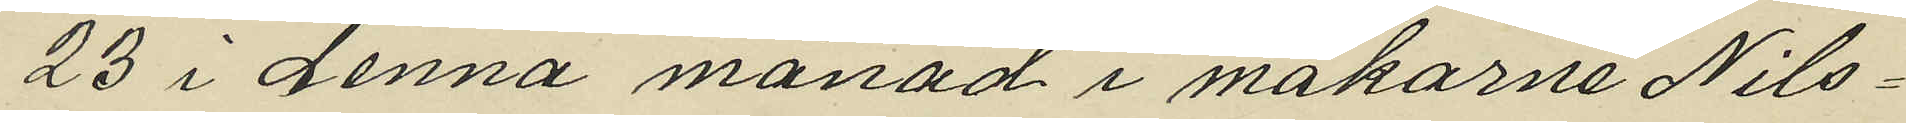23 i denna månad i makarne Nils¬
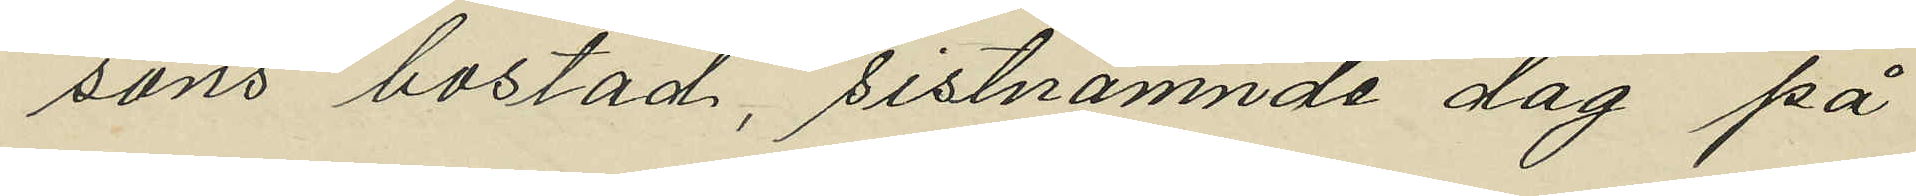sons bostad, sistnämnde dag på
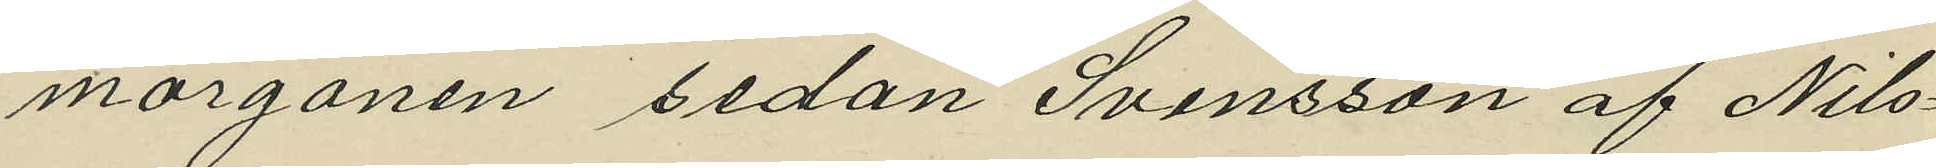morgonen sedan Svensson af Nils¬
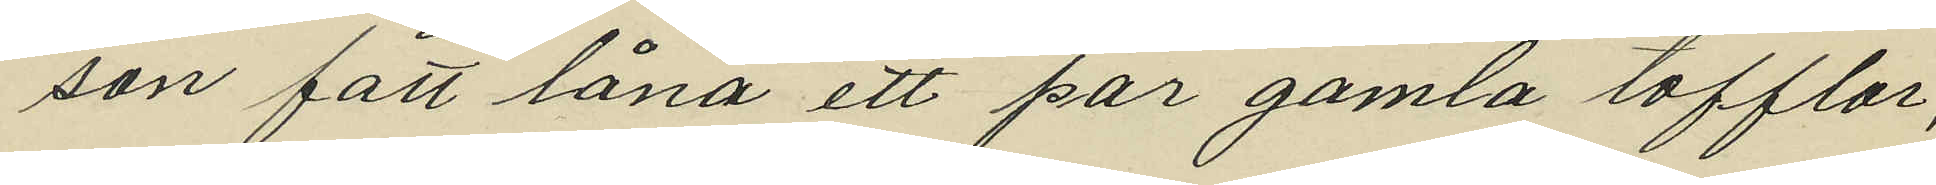son fått låna ett par gamla tofflor,
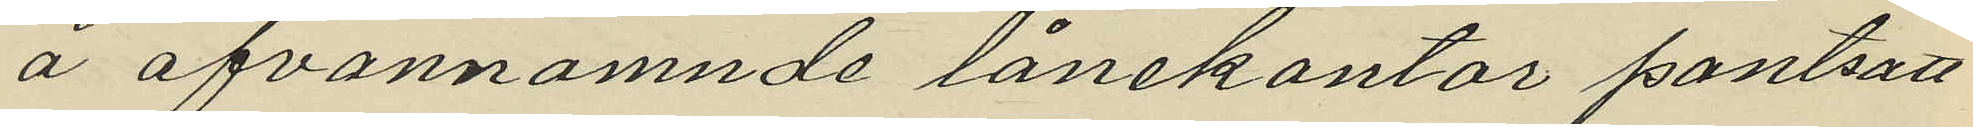å ofvannämnde lånekontor pantsatt
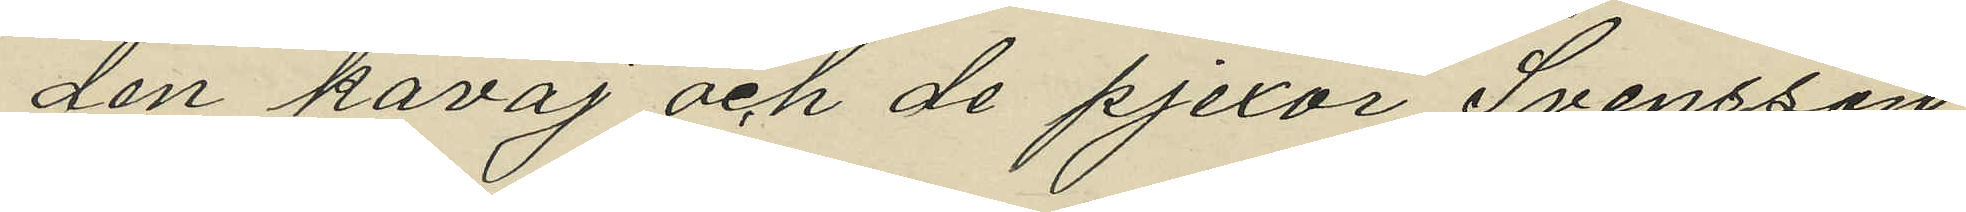den kavaj och de pjexor Svensson
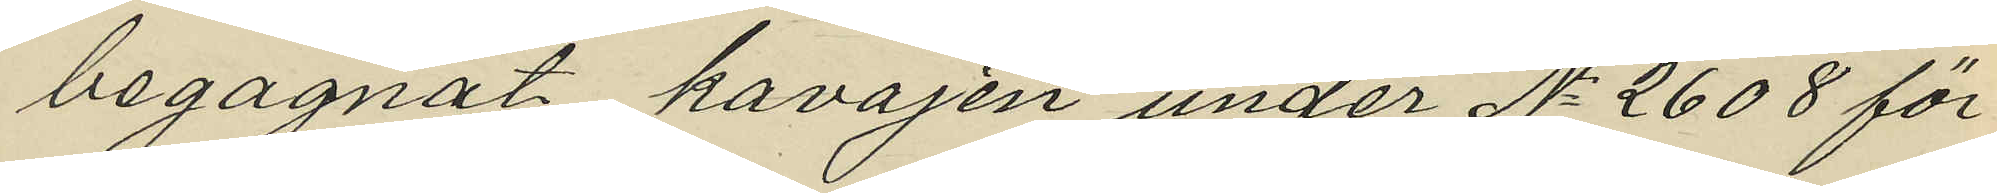begagnat kavajen under No 2608 för
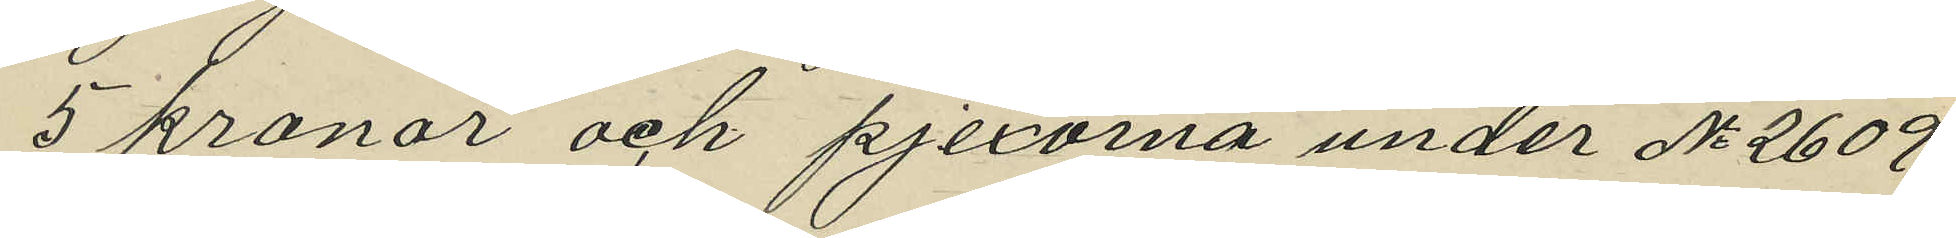5 kronor och pjexorna under No 2609
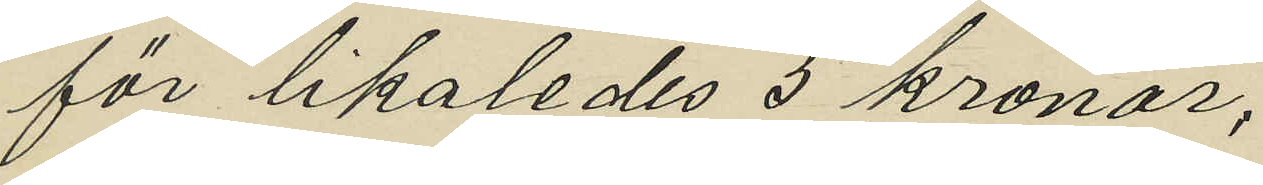för likaledes 5 kronor,
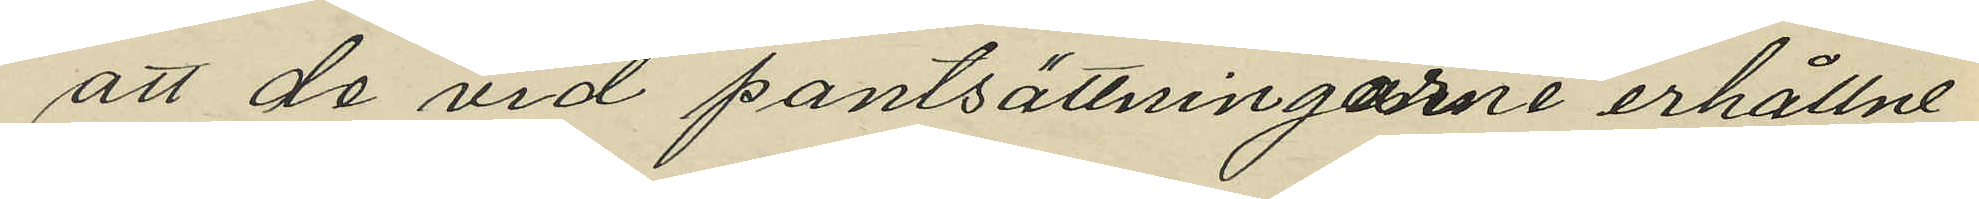att de vid pantsättningarne erhållne
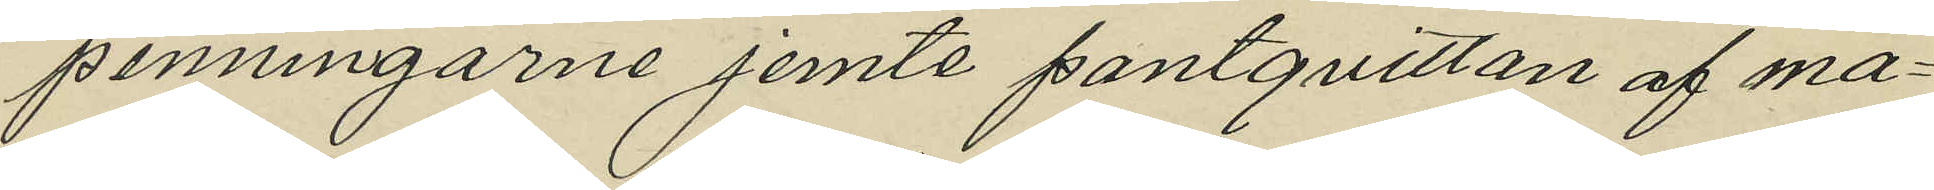penningarne jemte pantquitton af ma¬
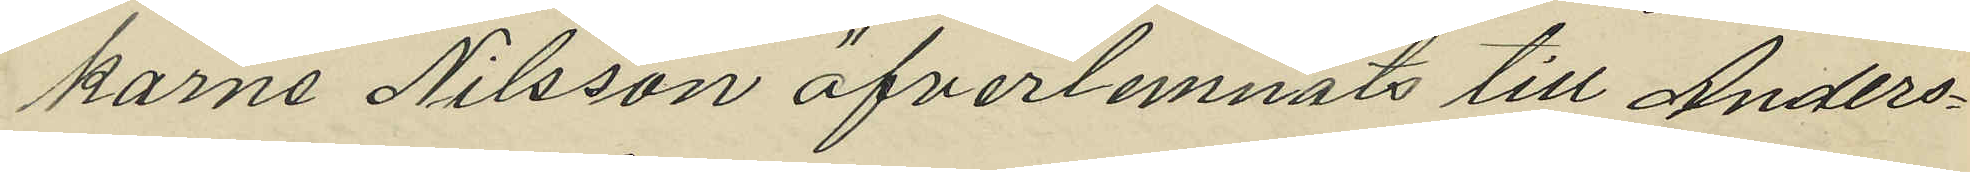karne Nilsson öfverlemnats till Anders¬
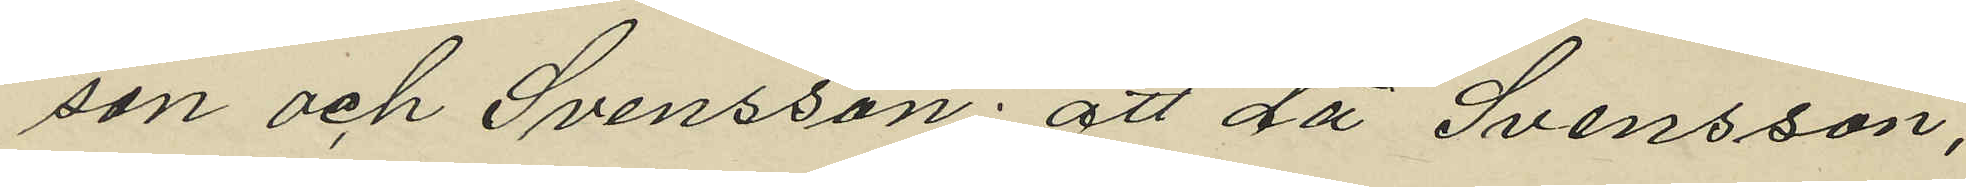son och Svensson: att då Svensson,
